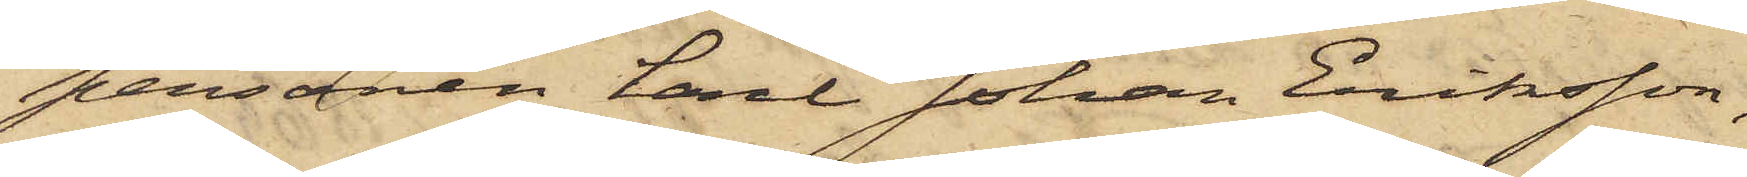personen Carl Johan Eriksson,
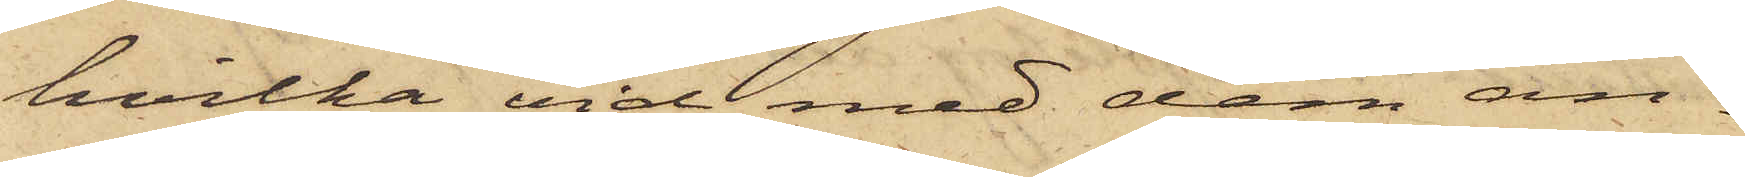hvilka vid med dem an¬
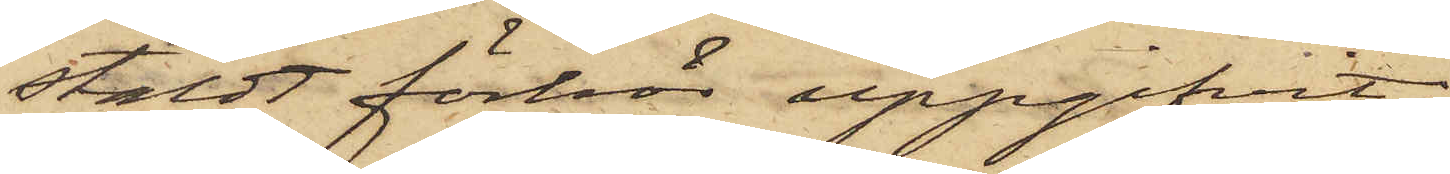stäldt förhör uppgifvit:
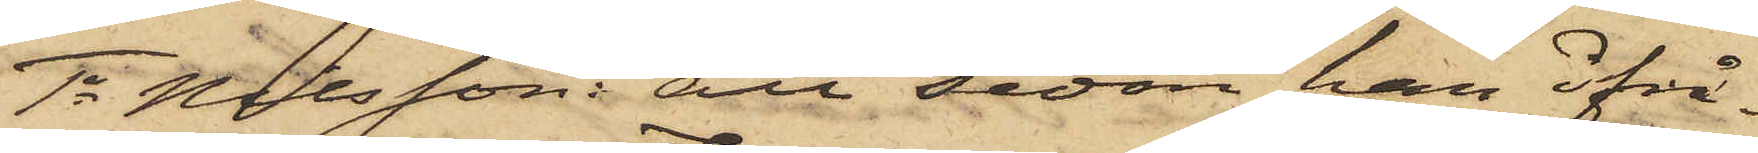1o Nilsson: att sedan han ifrå¬
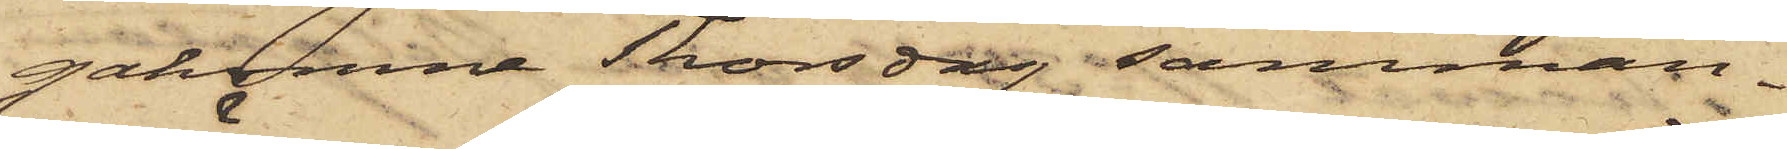gakomna Thorsdag samman¬
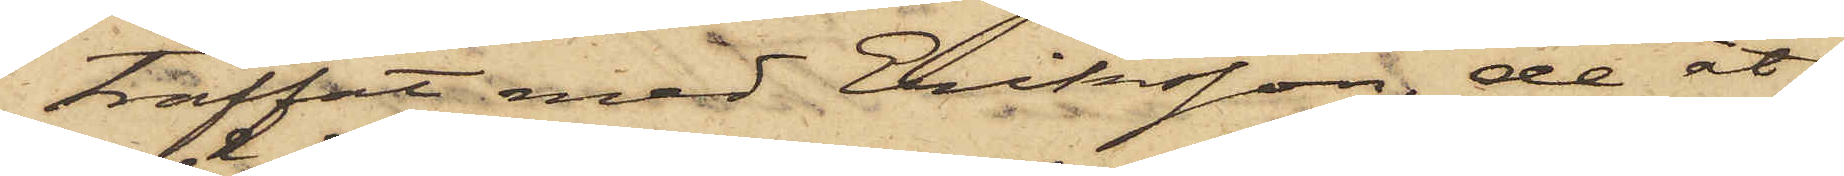träffat med Eriksson, de åt¬
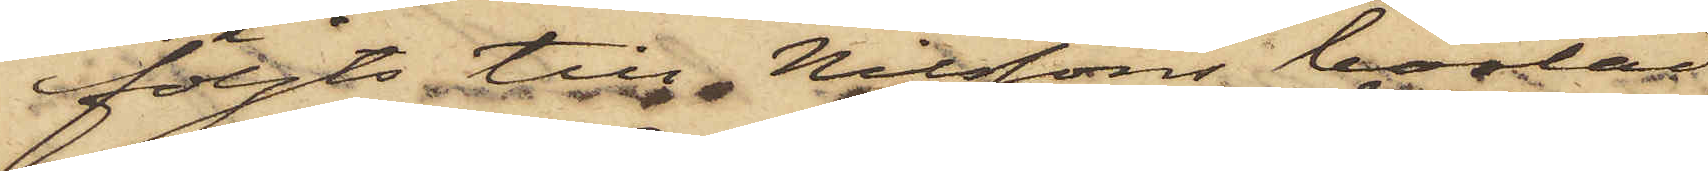följts till Nilssons bostad,
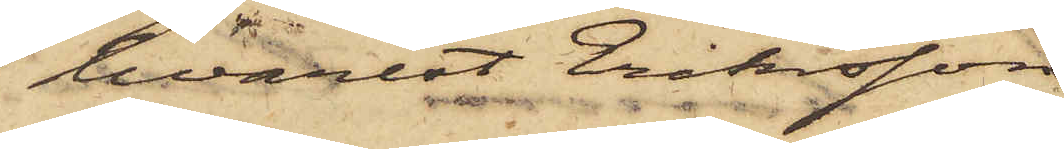hvarest Eriksson
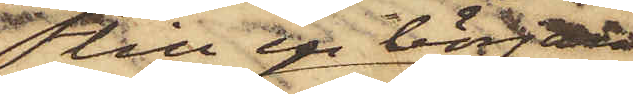till en början
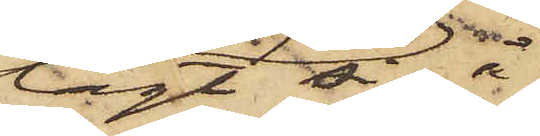lagt sig å
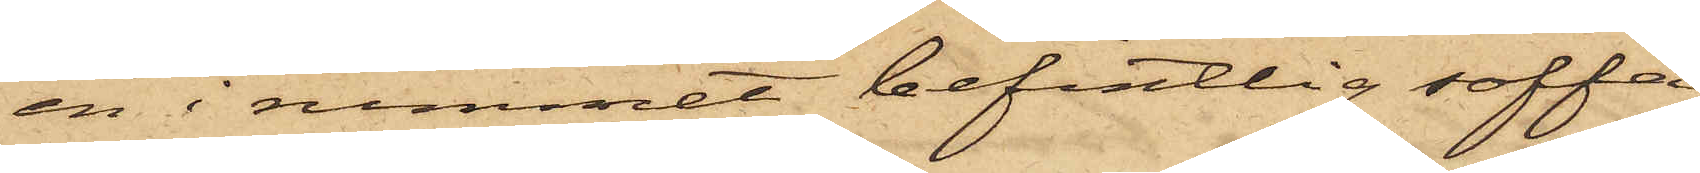en i rummet befintlig soffa
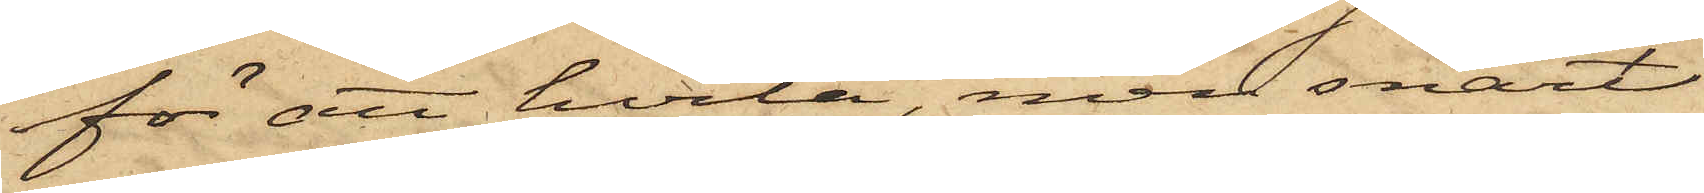för att hvila, men snart
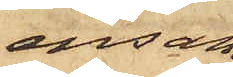ensam
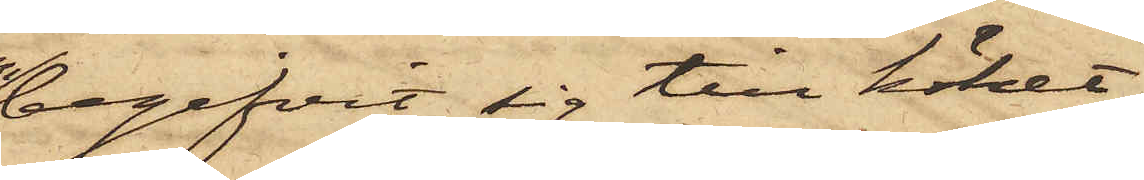begifvit sig till köket,
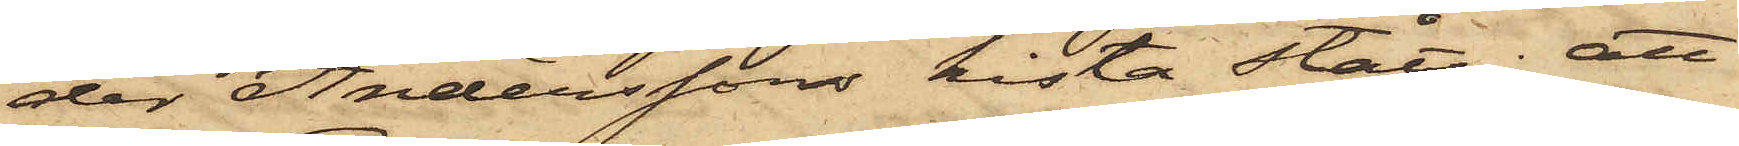der Anderssons kista stått; att
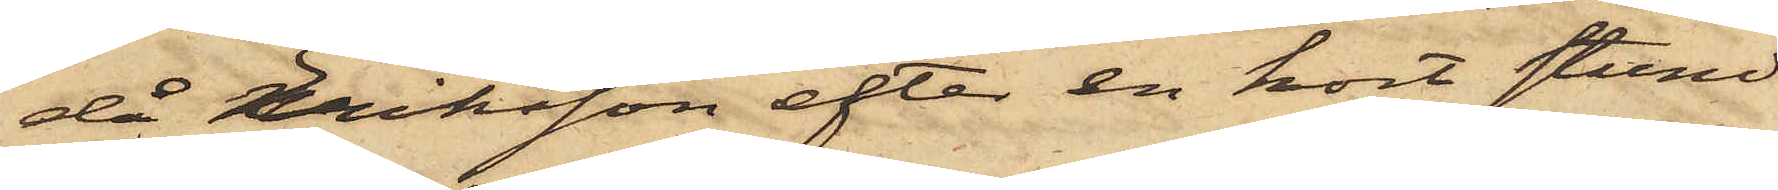då Eriksson efter en kort stund
